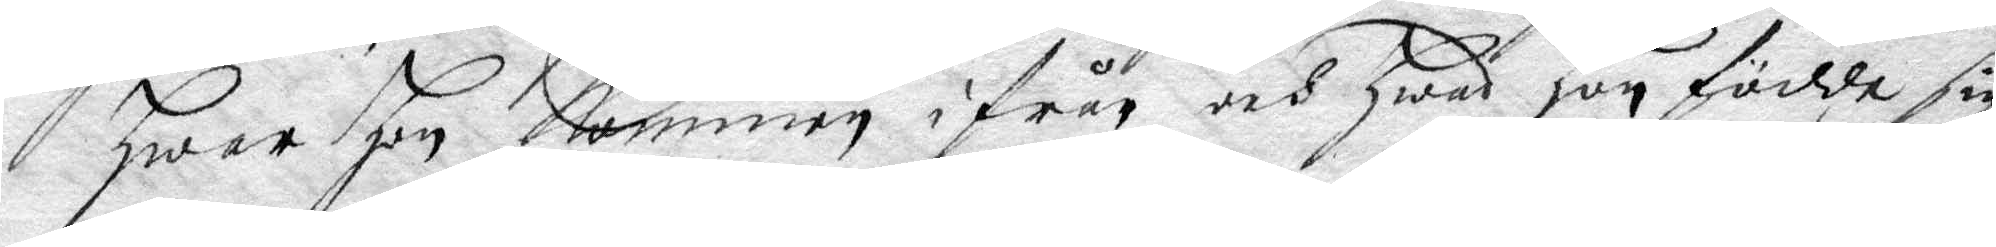hwar hon kommer ifrån och hwad hon födde sig
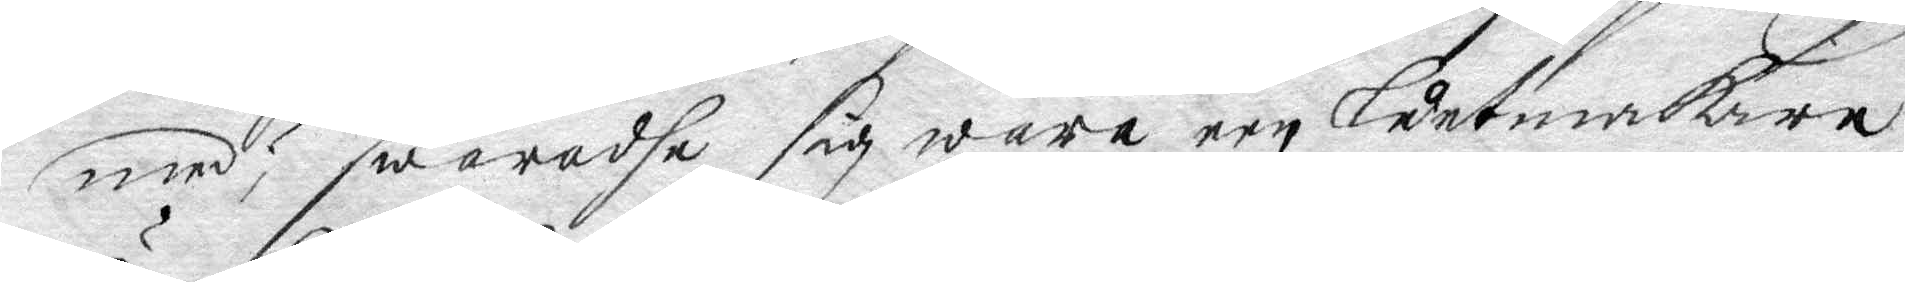med? swaradhe sig wara en luntmakare¬
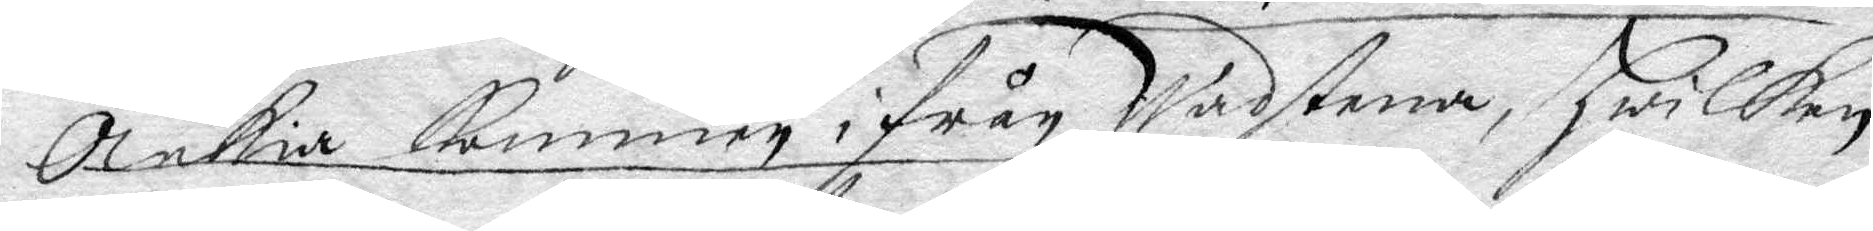Änkia kommen ifrån Wadstena, hwilken
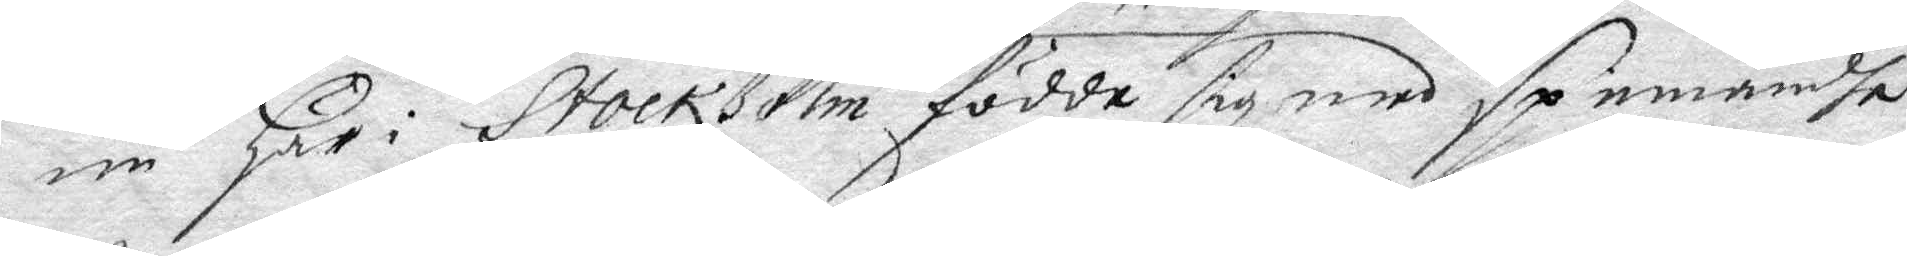nu här i Stockholm födde sig med spinnandhe,
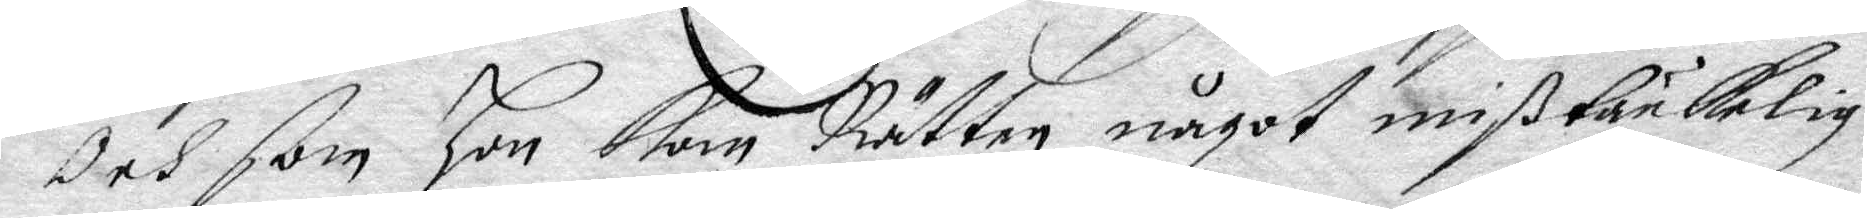och som hon kom Rätte något mißtänkelig
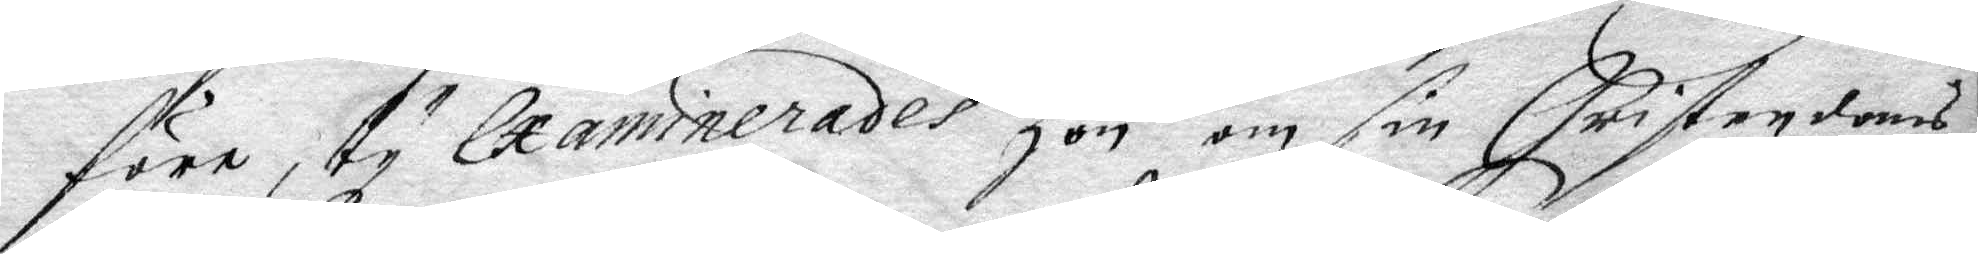före, ty Examinerades hon om sin Christendoms
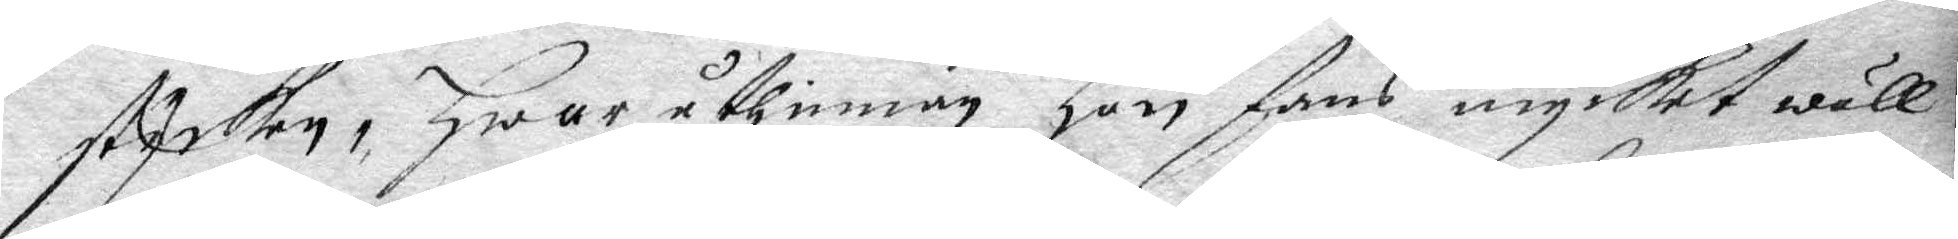stycken, hwaruthinnan hon fans mycket wäll
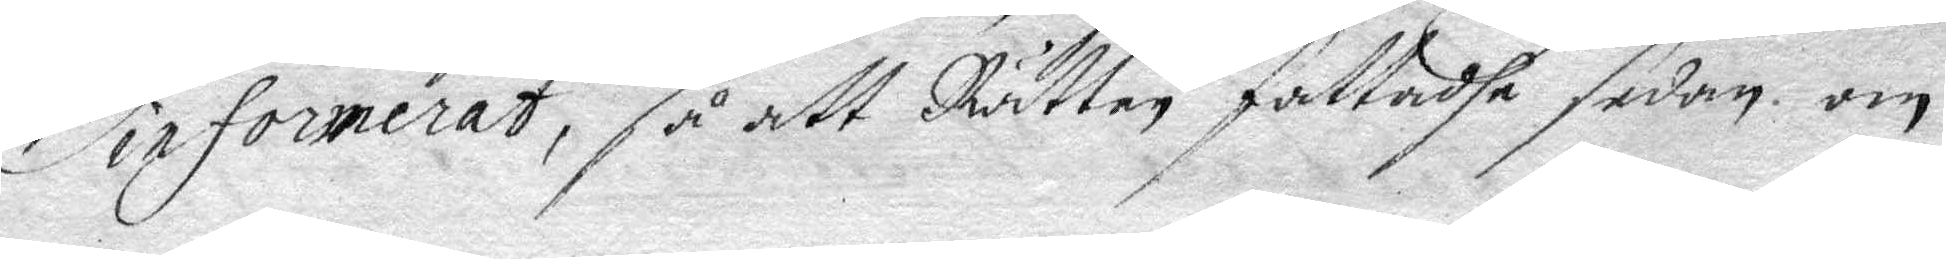informerat, så att Rätten fattadhe sedan om 
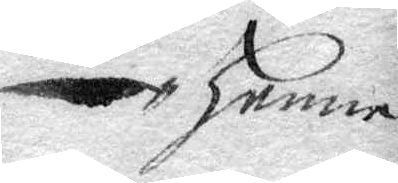henne
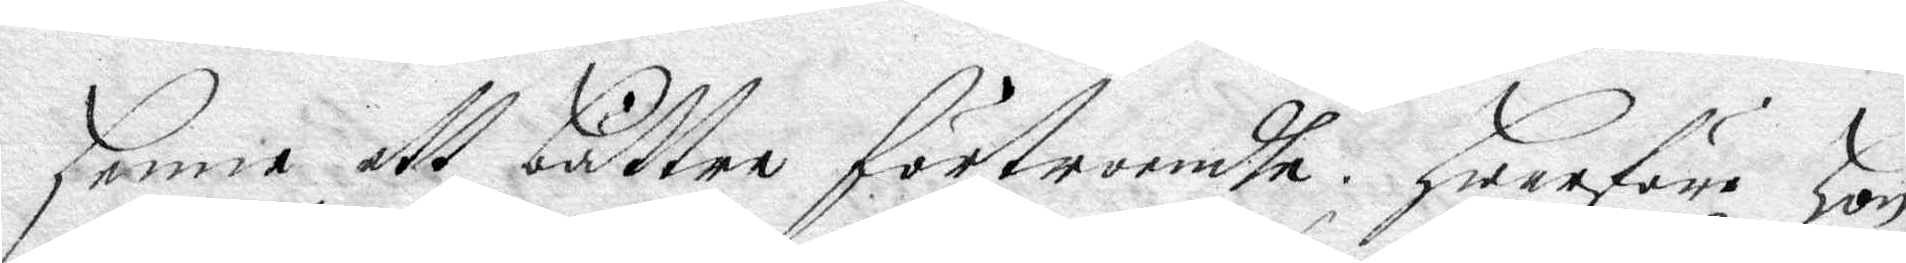henne ett bättre förtroendhe hwarföre hon
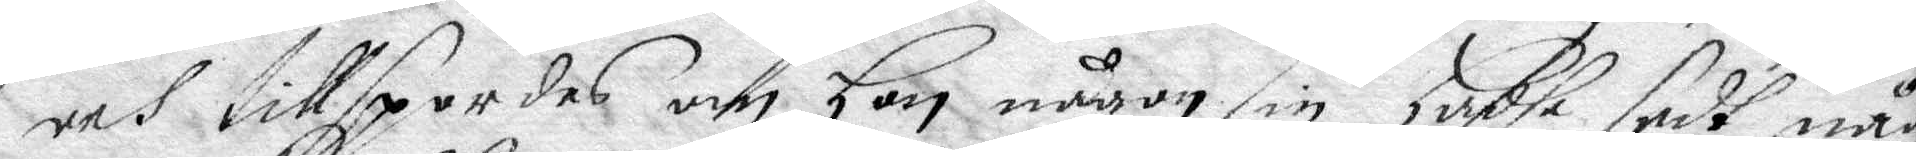och tillspordes om hon någon sin hadhe sedt någ
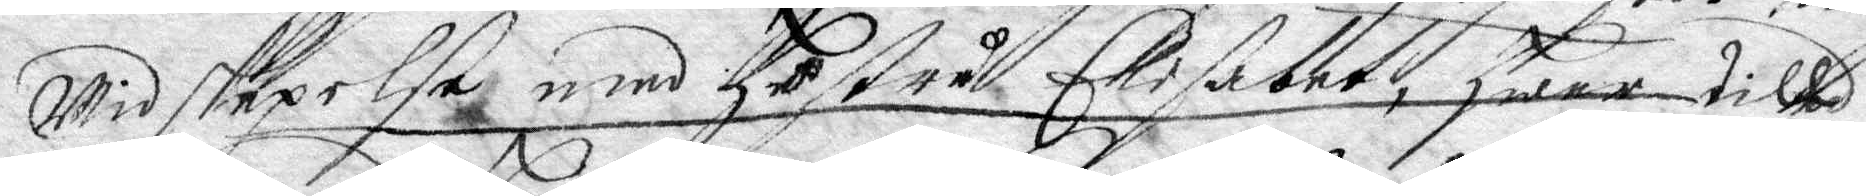widskepelße med hustru Elisabet, hwar till
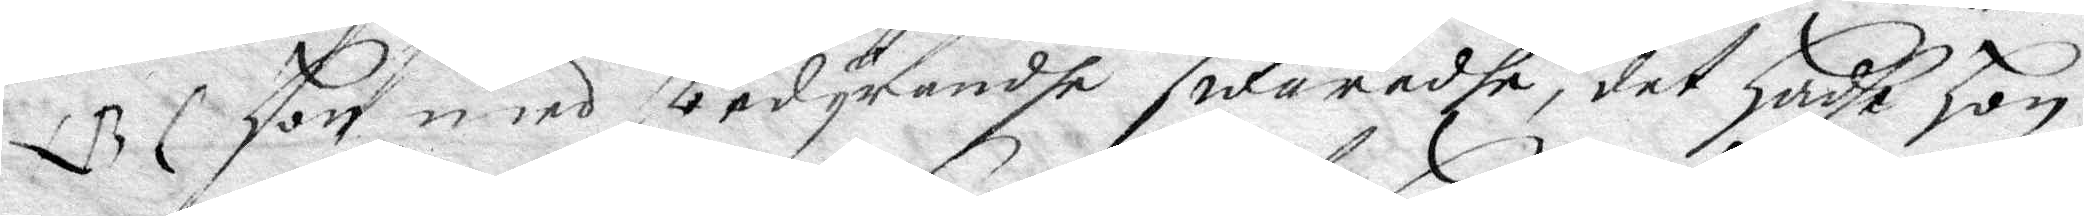NB hon med bedyrandhe swarade, det hadhe hon
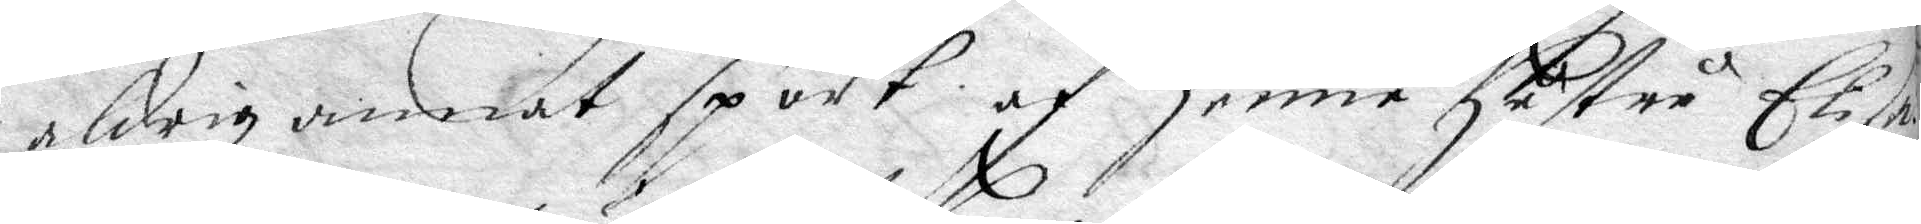aldrig annat sport af henne hustru Elisa¬
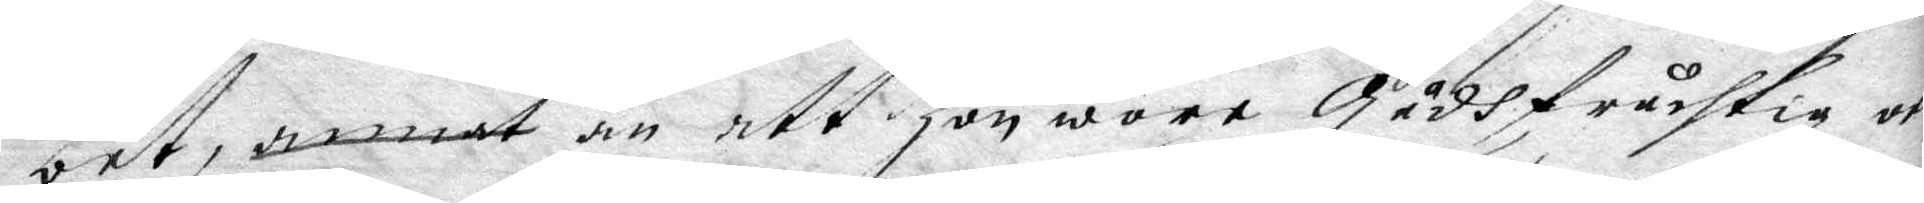bet, annat än ett hon wore Gudhfruchtig och
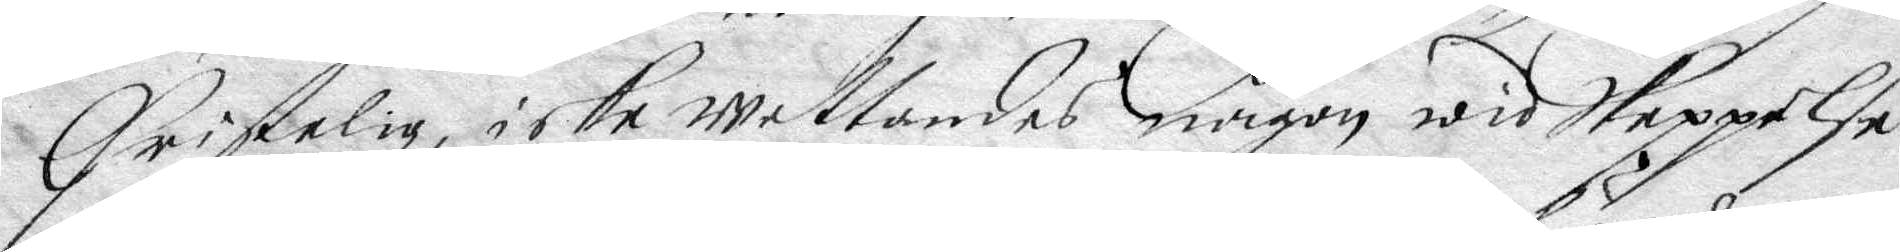Christelig, icke wetandes någon widskeppelse
